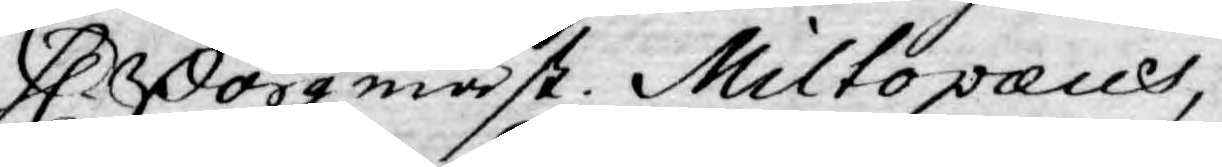H Borgmäst. Miltopæus,
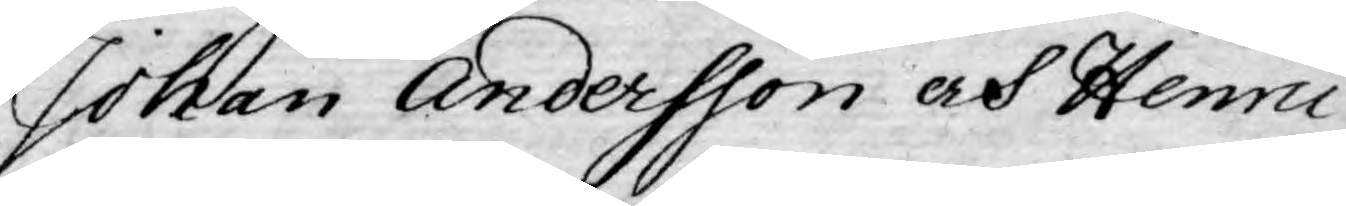Johan Andersson och Henric
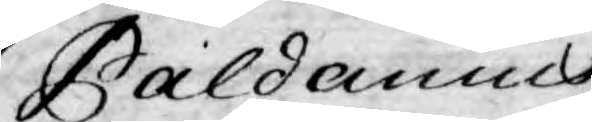Paldanius.
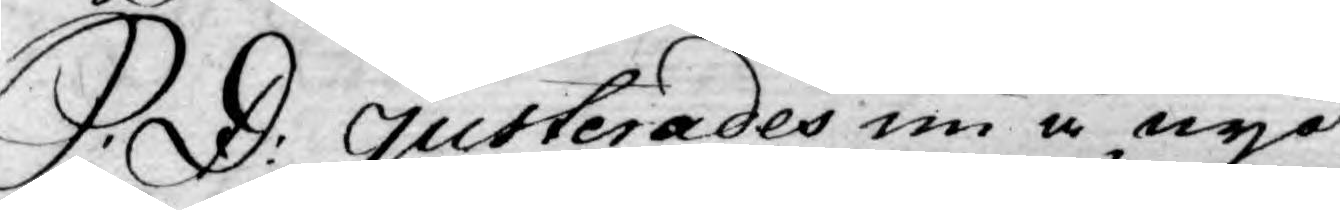S: D: Justerades nu å nyo
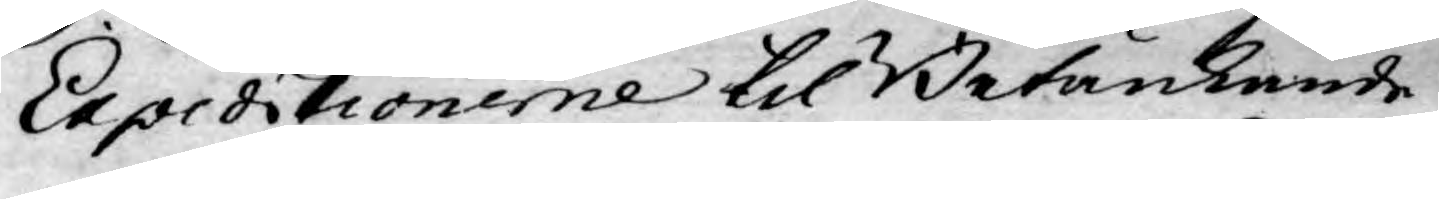Expeditionerne til Betänkande
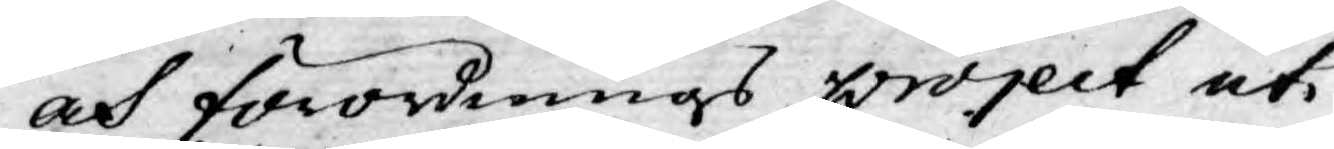och förordnings project uti
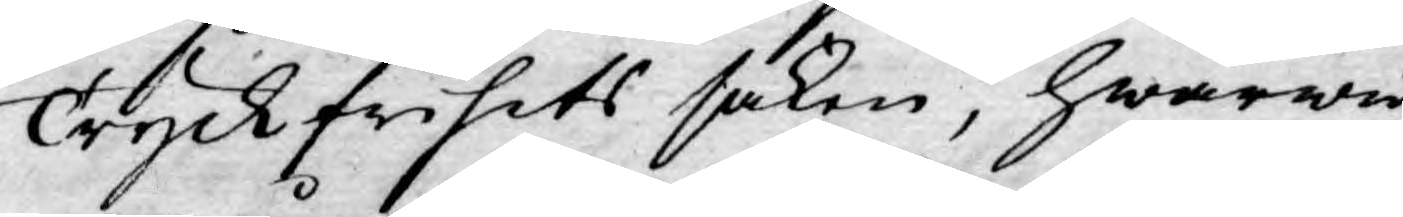Tryckfrihets saken, hwarwid
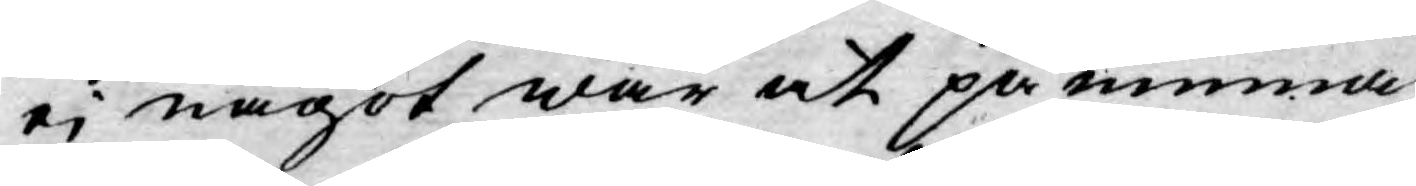ej något war at påminna,
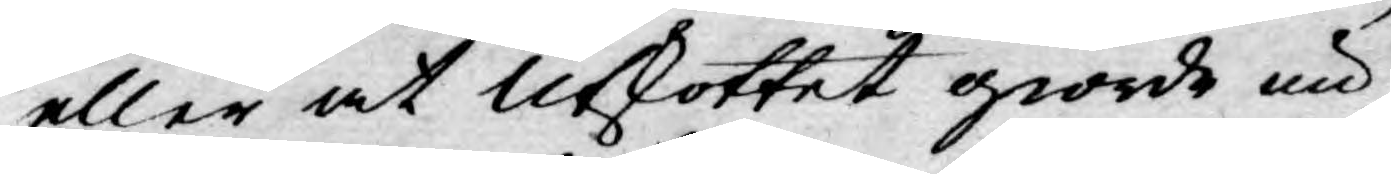eller at Utskottet giorde nu
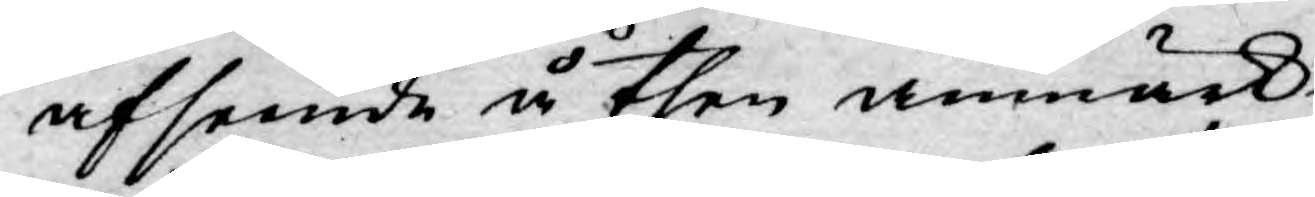afseende å then anmärk¬
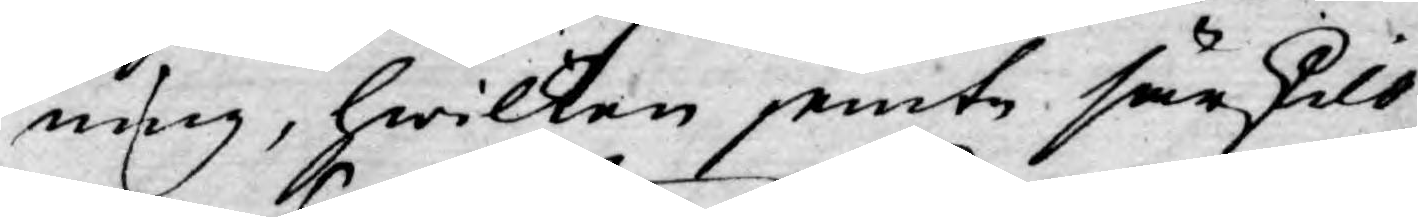ning, hwilken jemte särskild
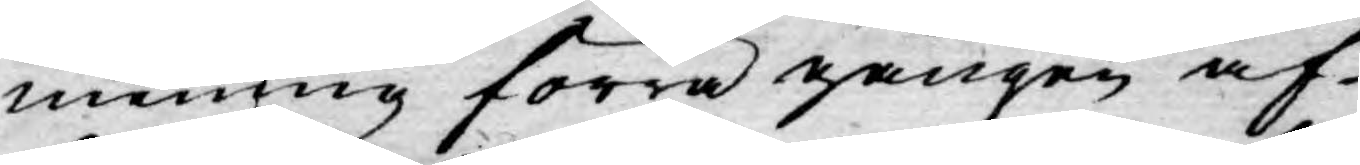mening förra gången af
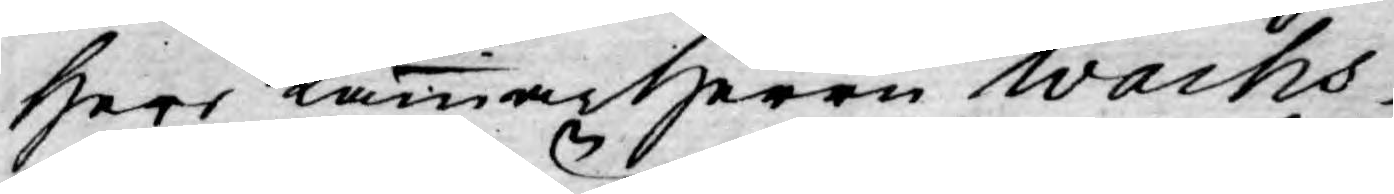Herr Kammarherren Wachs¬
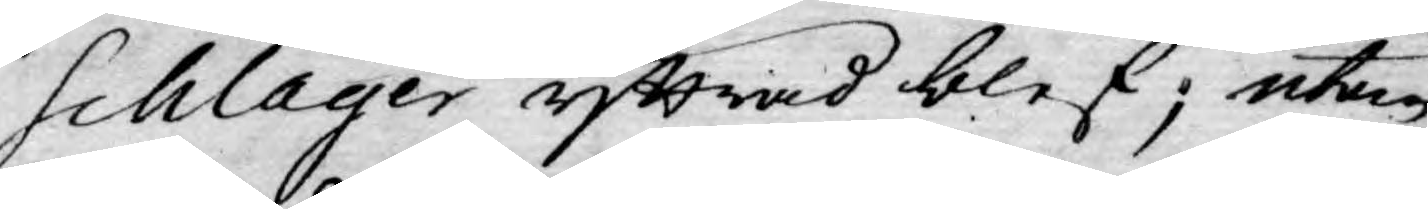schlager yttrad blef; utan
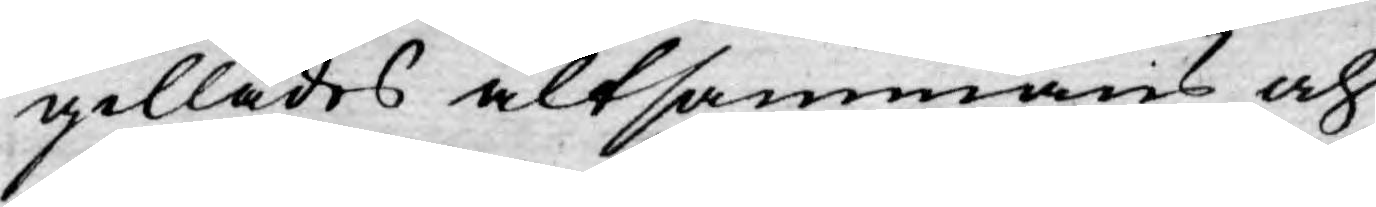gillades altsammans och
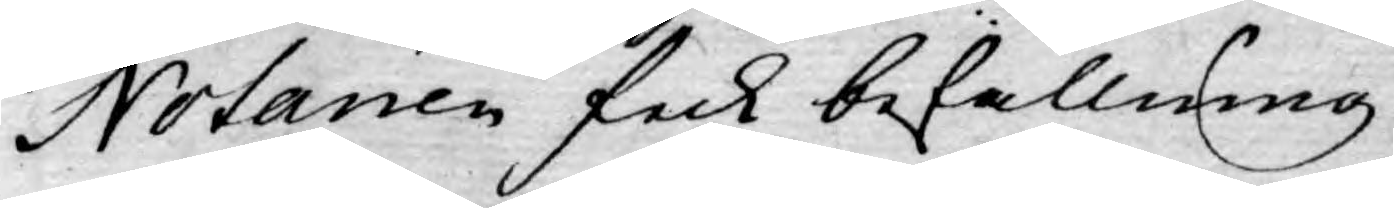Notarien fick befallning
